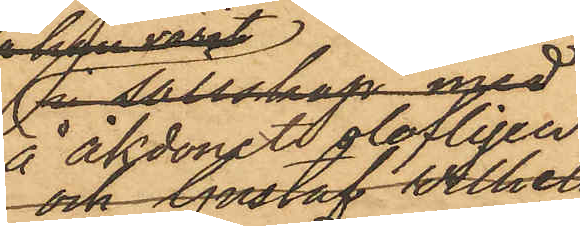å åkdonet olofligen
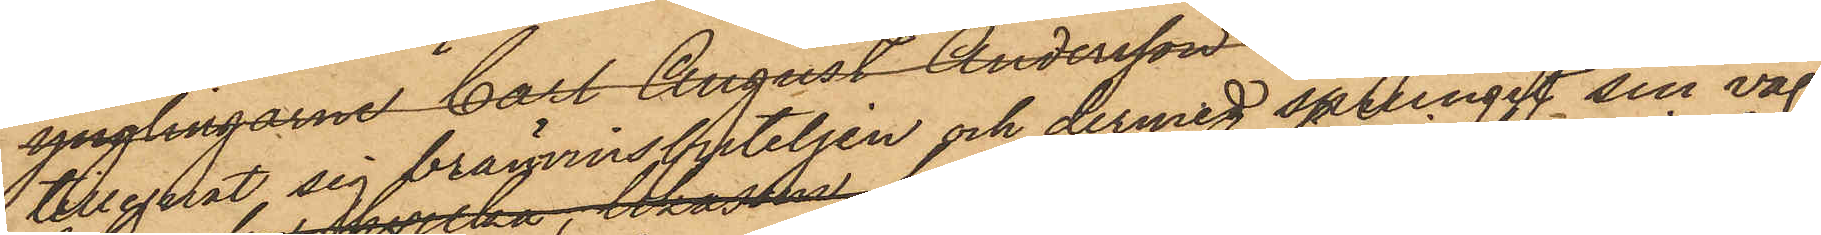tillegnat sig bränvinsbuteljen och dermed sprungit sin väg
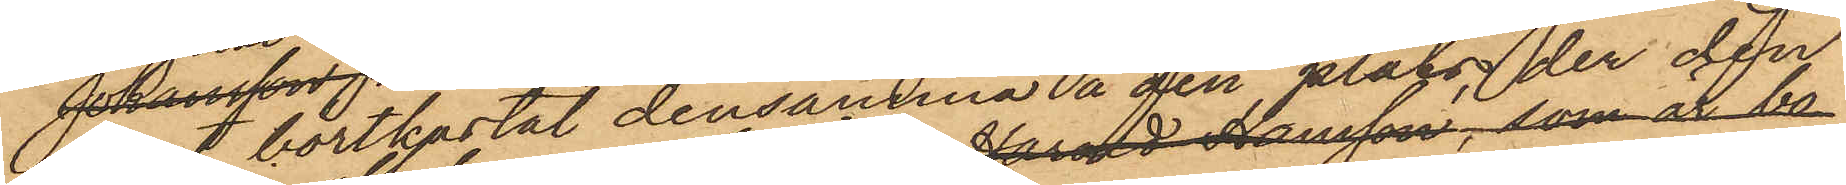samt bortkastat densamma å den plats der den
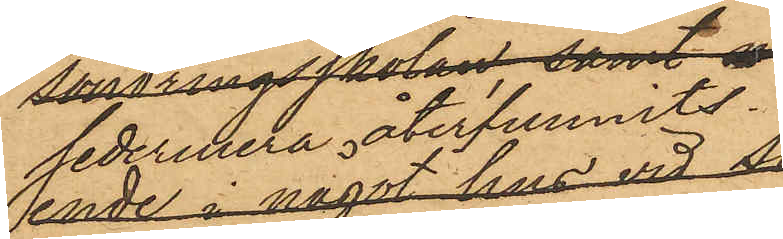 sedermera återfunnits.
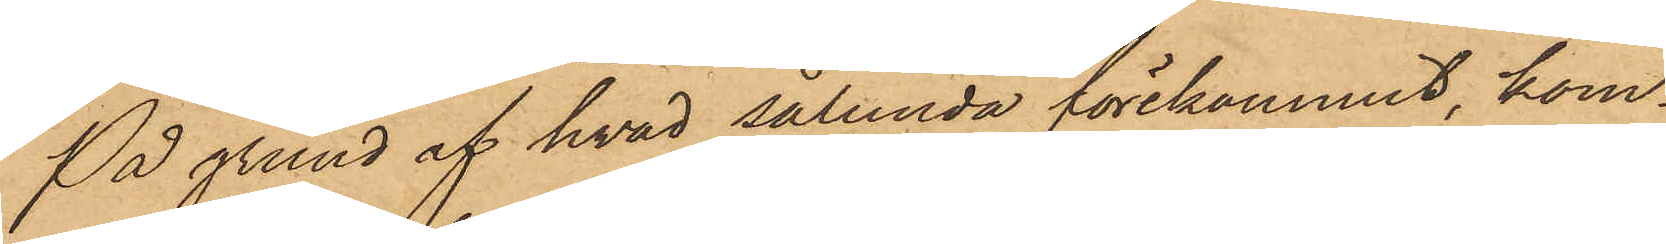På grund af hvad sålunda förekommit, kom¬
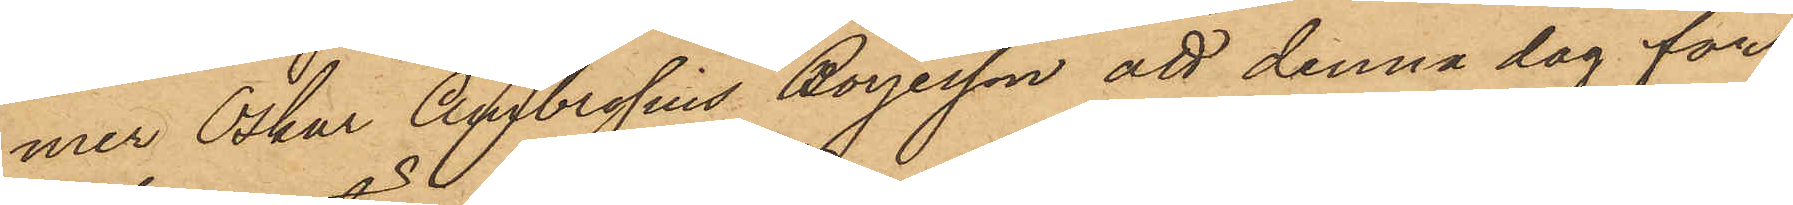mer Oskar Ambrosius Börjesson att denna dag för
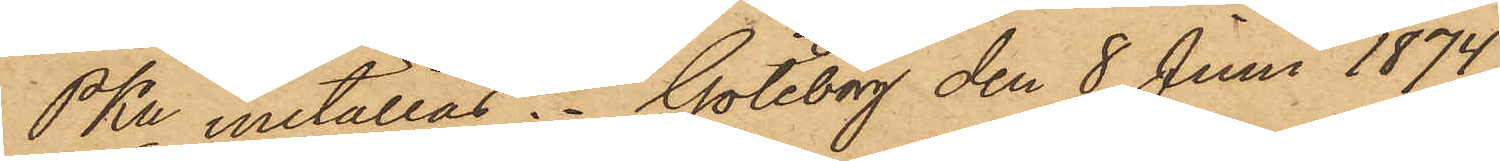PKn inställas. Göteborg den 8 Juni 1874.
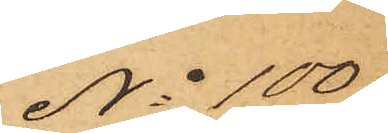No 100
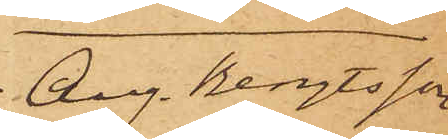Aug. Bengtsson
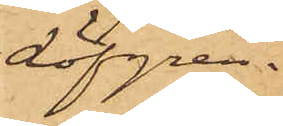Löfgren.
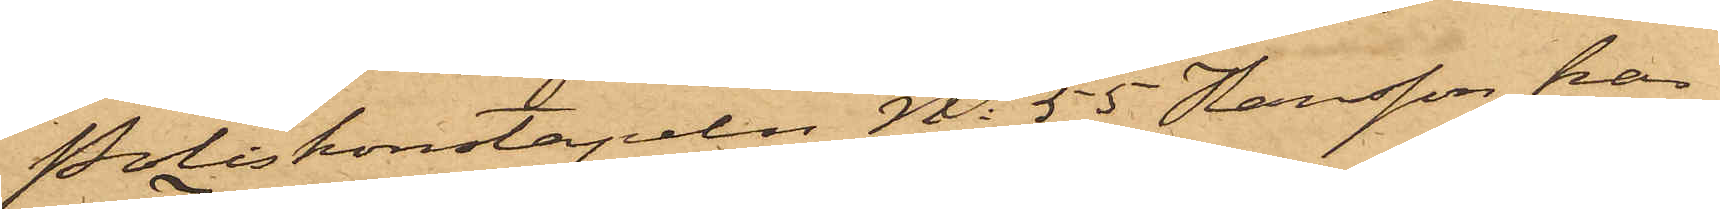Poliskonstapeln No 55 Hansson har
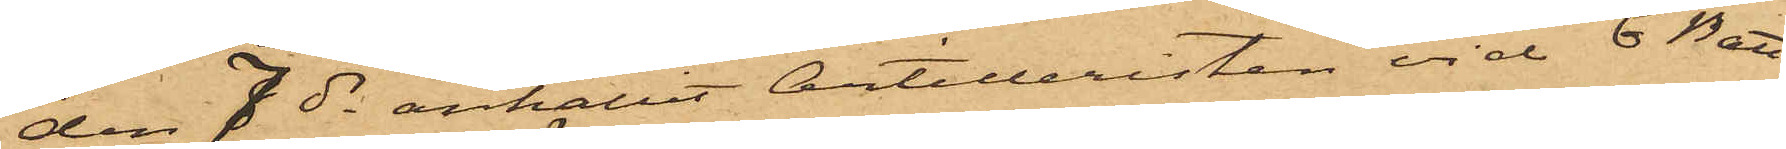den 7 ds anhållit Artilleristen vid 6 Batt.
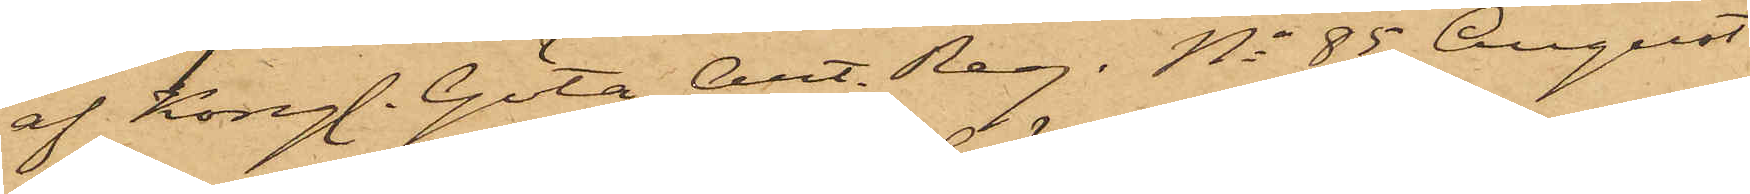af Kongl. Göta Art. Reg. No 85 August
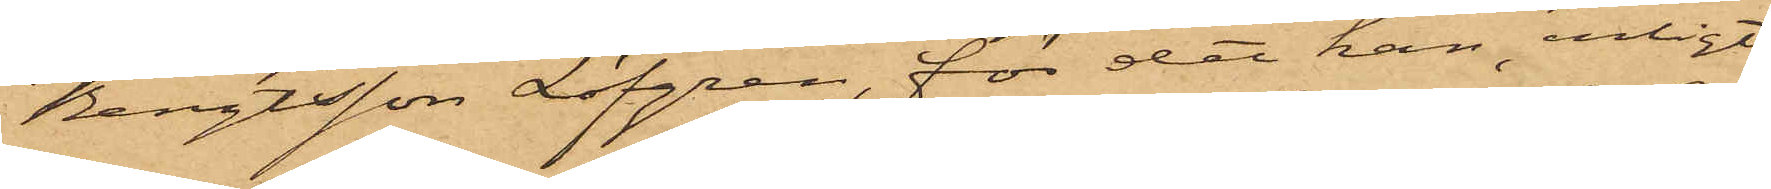Bengtsson Löfgren, för det han, enligt
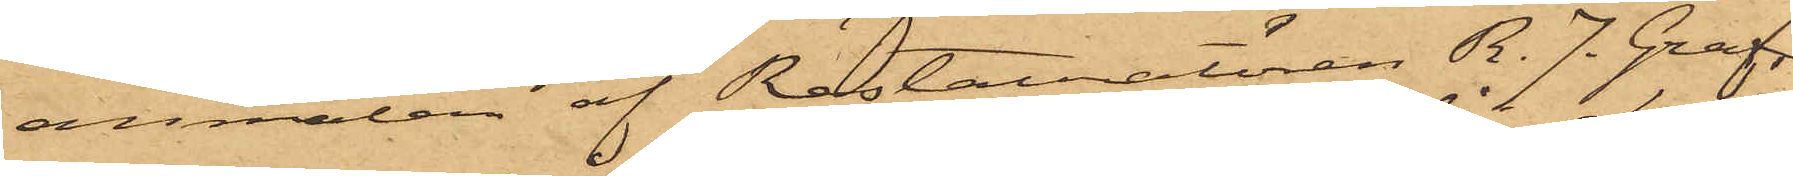anmälan af Restauratören R. J. Graf,
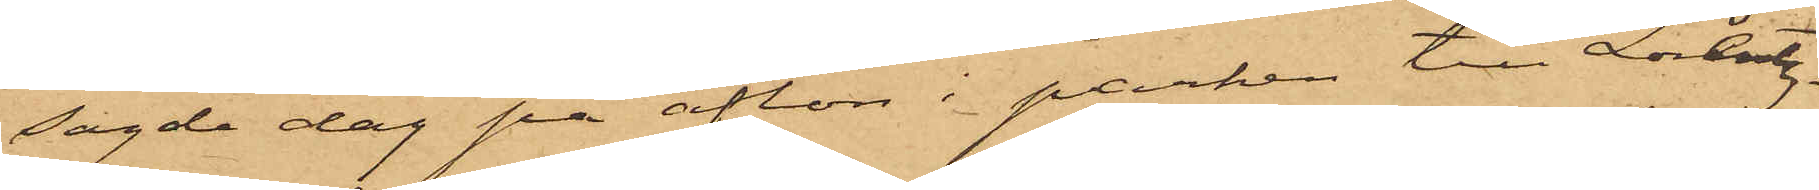sagde dag på afton i parken till Lorentz¬
